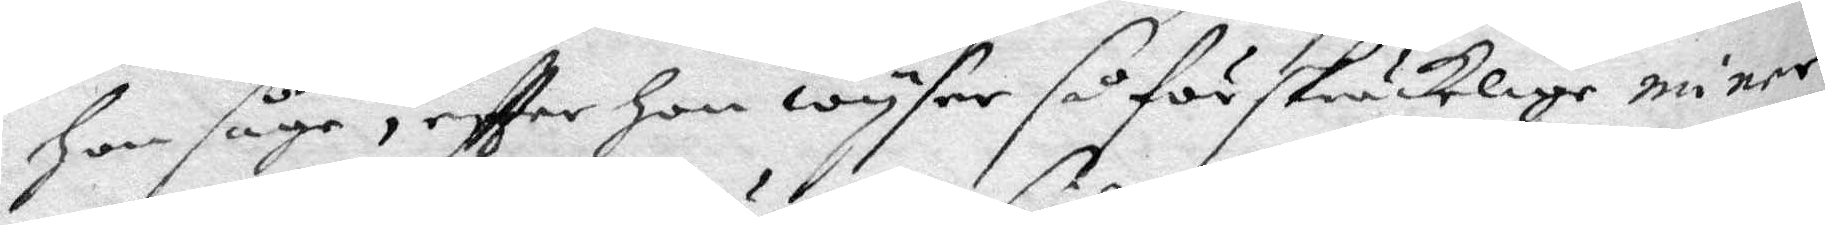hon såge, eftter Hon wyser så förskräckelige miner
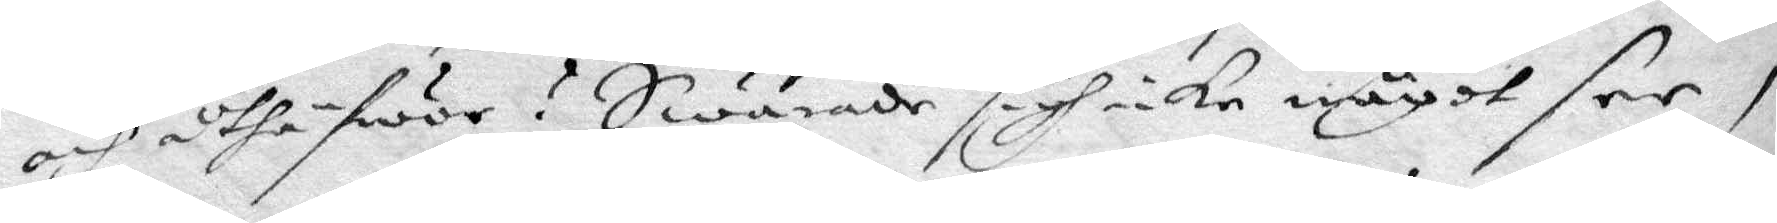och uthäfwor? Swarade sigh icke något see,
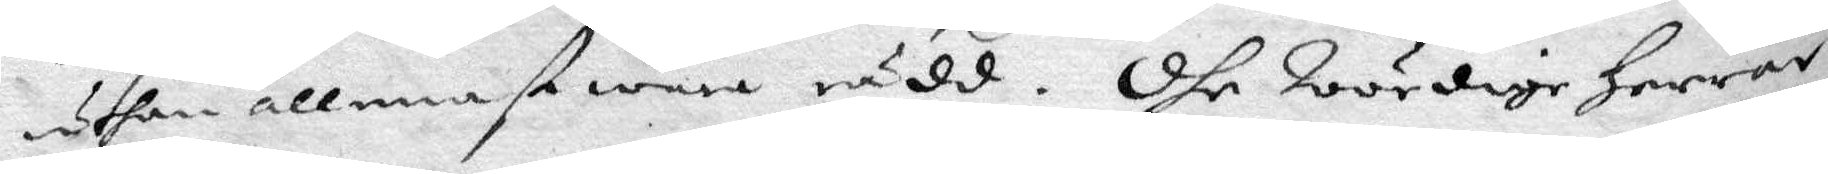uthan allenast wara rädd. Dhe Wördige Herrar
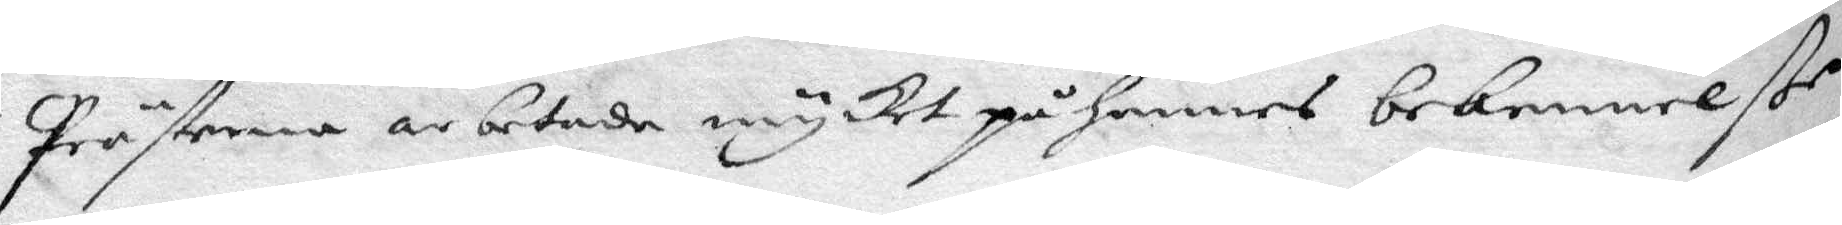Prästerna arbetade mycket på hennes bekennelße
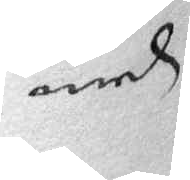med
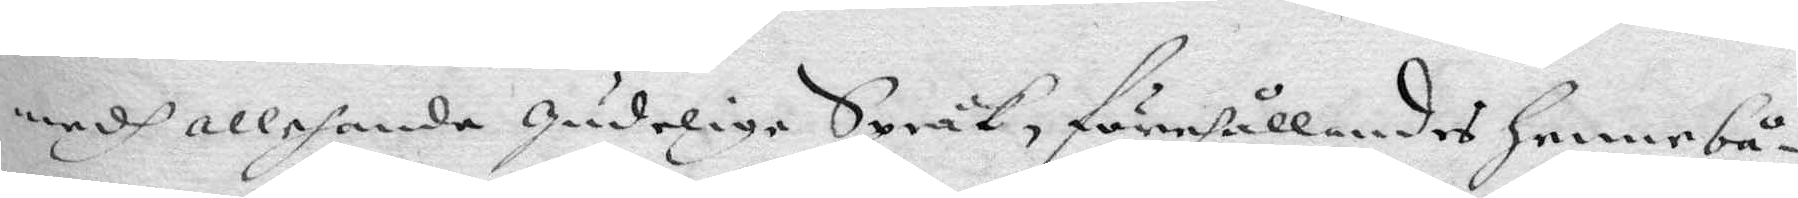medh allehanda Gudelige Språk, förehållandes henne bå¬
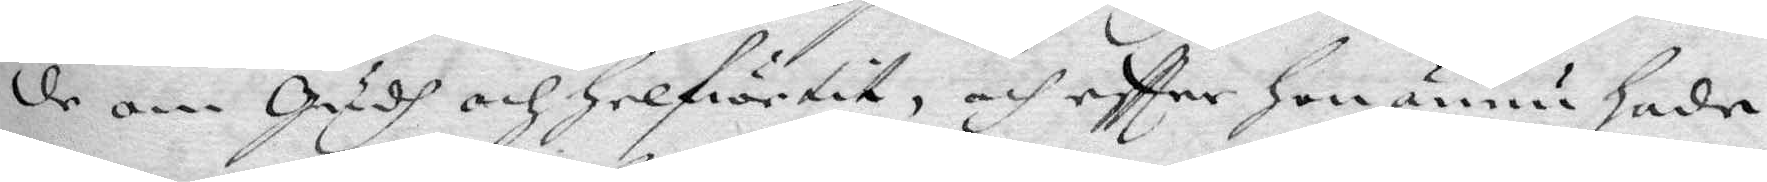de om Gudh och Helfwetit, och eftter Hon ännu hade
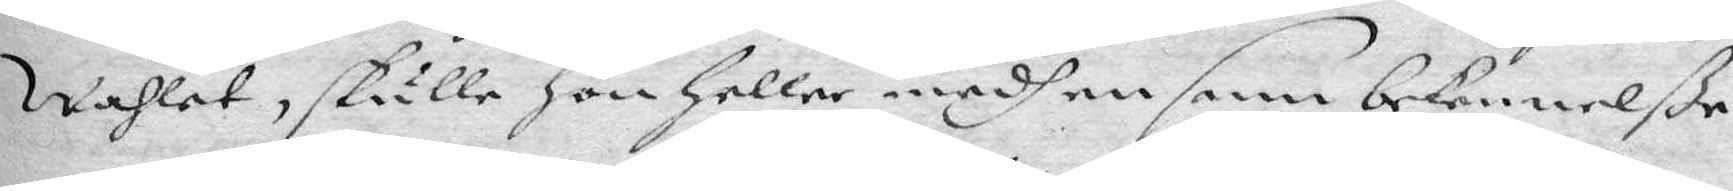Wahlet, skulle hon Heller medh en sann bekennelße
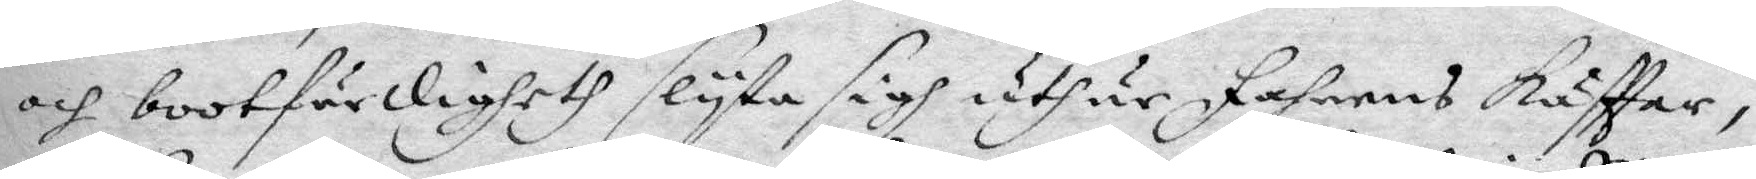och bootfärdigheth slyta sigh uthur Fahnens Käfttar,
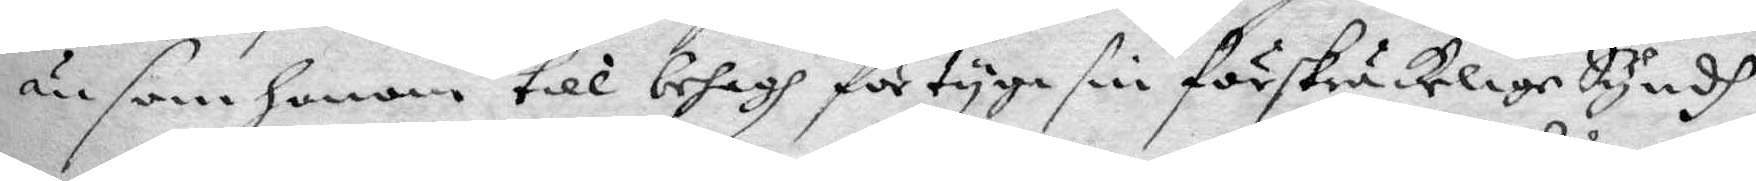än som Honom till behagh förtyga sin förskräckelige Syndh
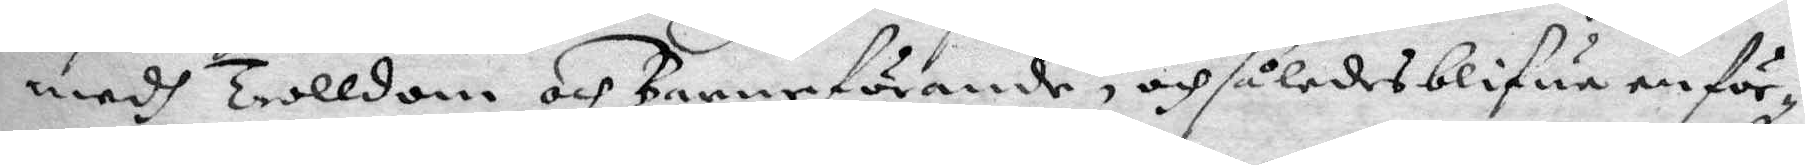medh Trolldom och Barnaförande, och således blifwa en för¬
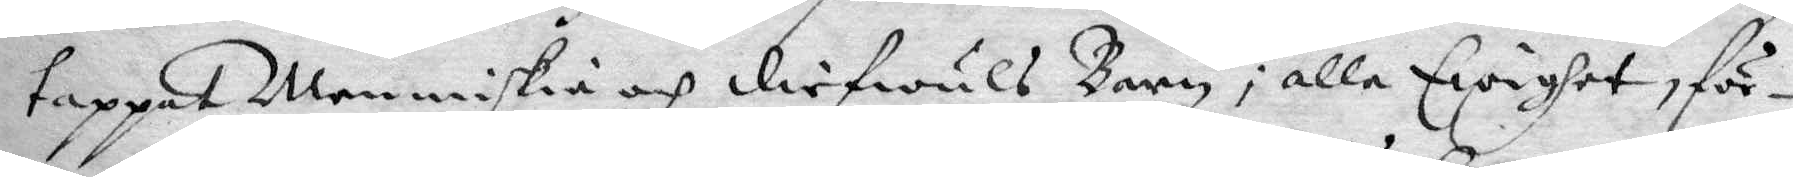tappat Menniskia och diefwuls Barn i alle Ewighet, för¬
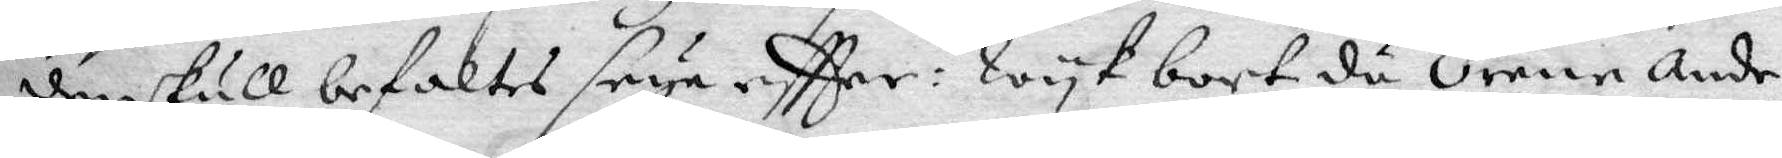den skull befaltes seya eftter: Wyk bort då Orene Ande
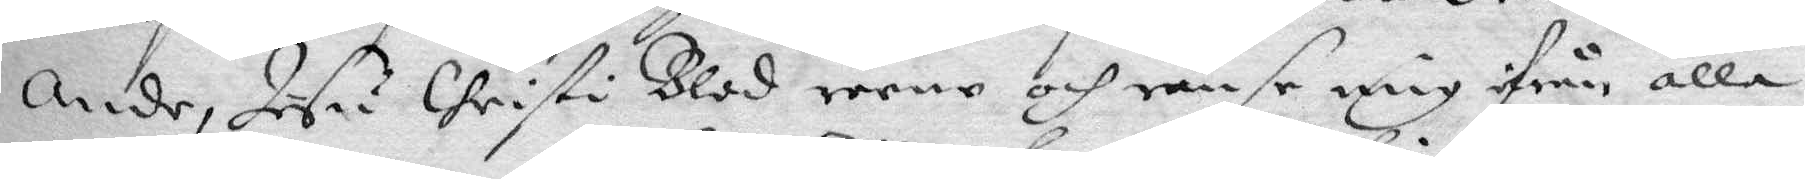Ande, Jesu Christi Blod reene och ränse mig ifrån alla
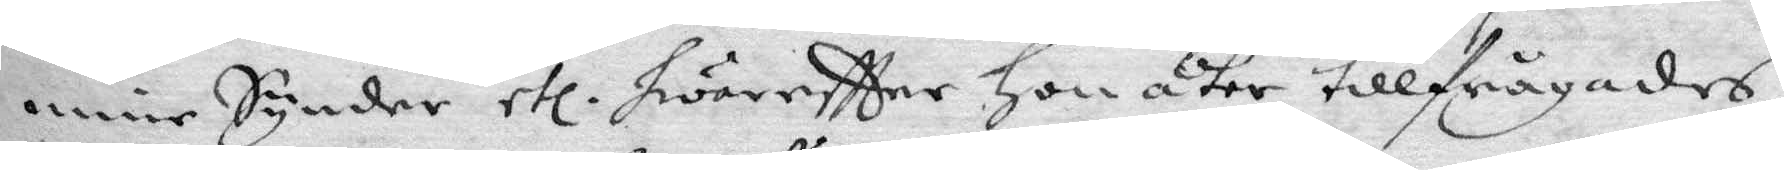mine Synder etc. hwareftter Hon åter tillfrågades
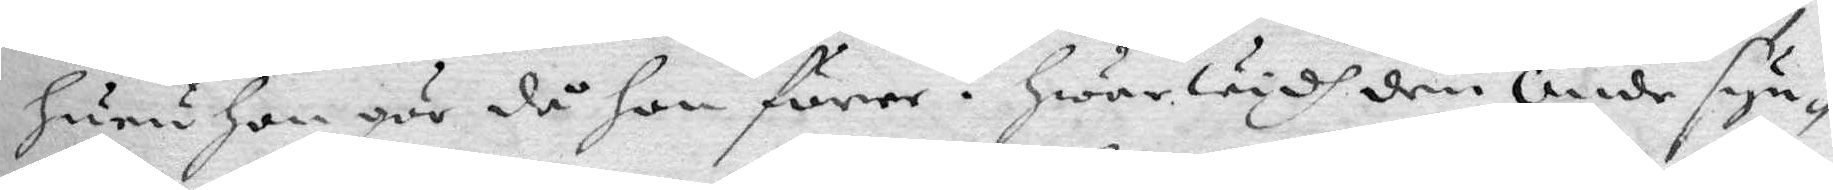huru hon gör då hon förer? Hwarwydh den Onde syn¬
